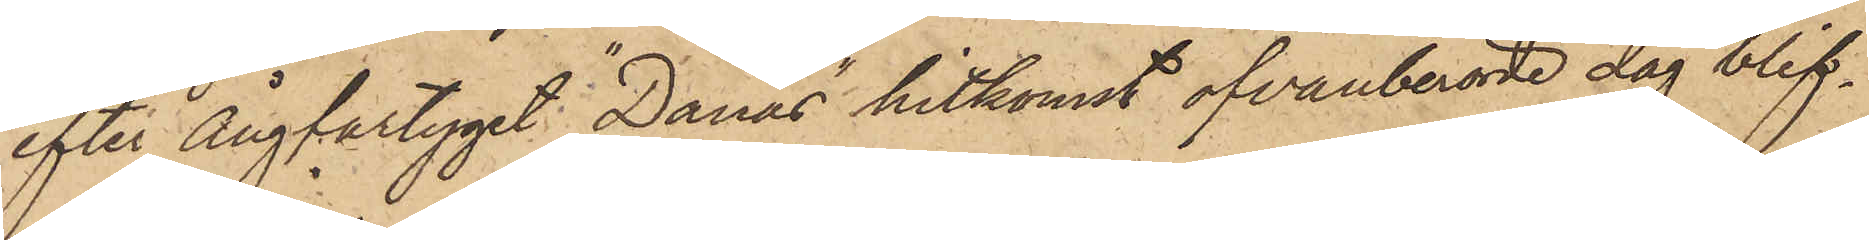efter ångfartyget "Danas" hitkomst ofvanberörde dag blif¬
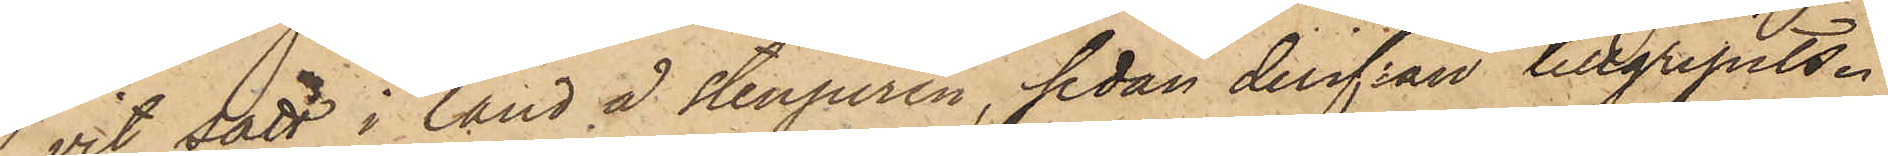vit satt i land å Stenpiren, sedan derifrån tillgripits.
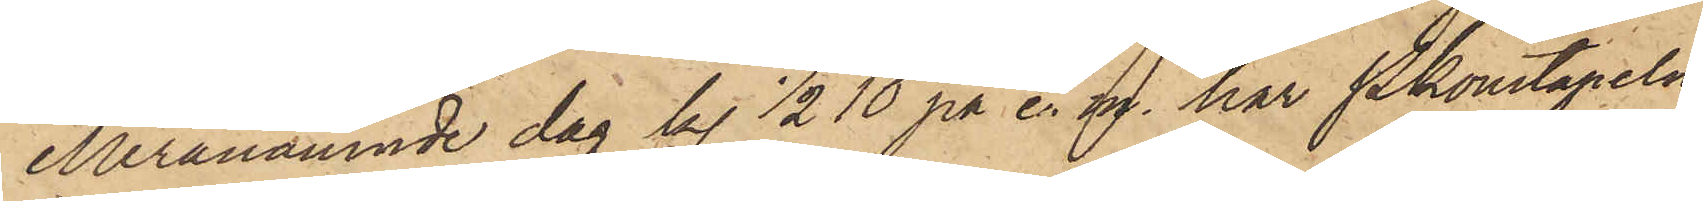Meranämnde dag kl. ½10 på e. m. har Pkonstapeln
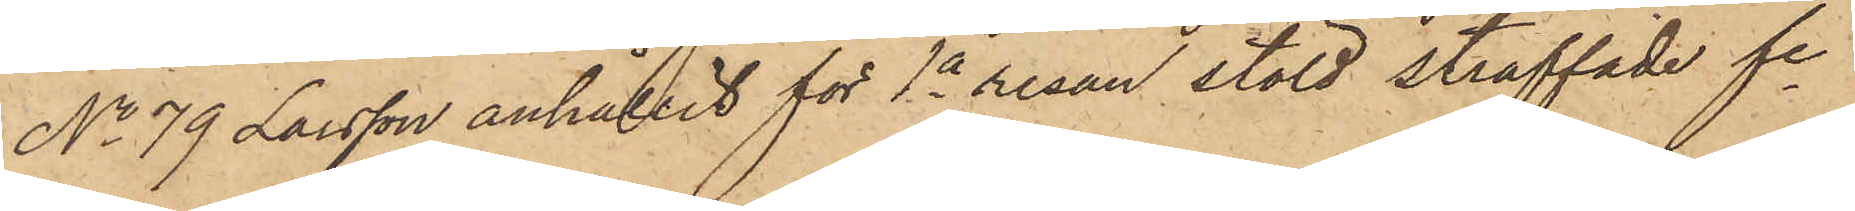No 79 Larsson anhållit för 1a resan stöld straffade fe
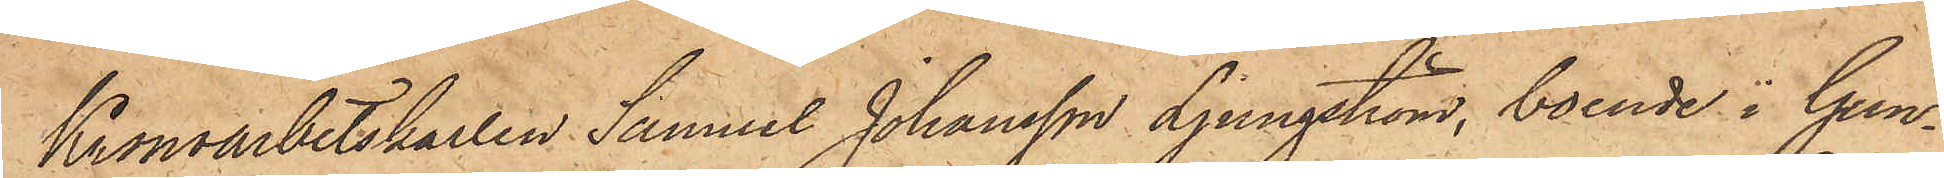Kronoarbetskarlen Samuel Johansson Ljungström, boende i Gun¬
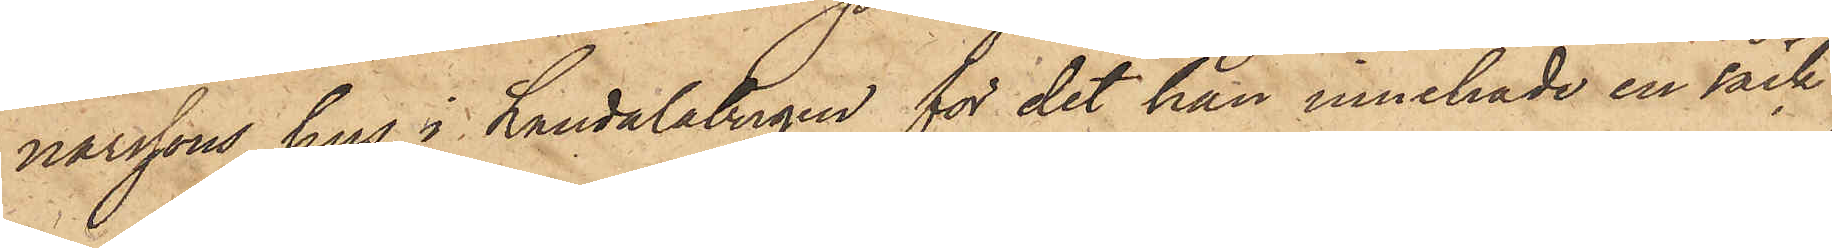narssons hus i Landalabergen för det han innehade en säck
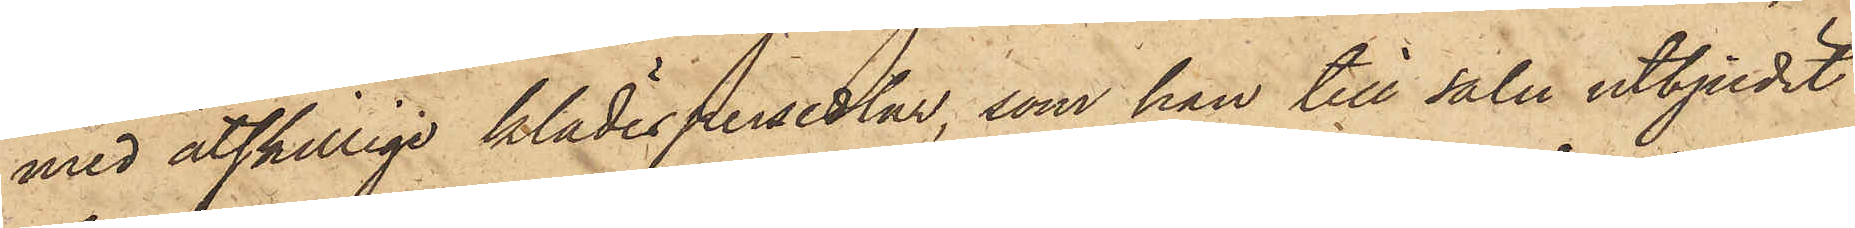med åtskillige klädespersedlar, som han till salu utbjudit
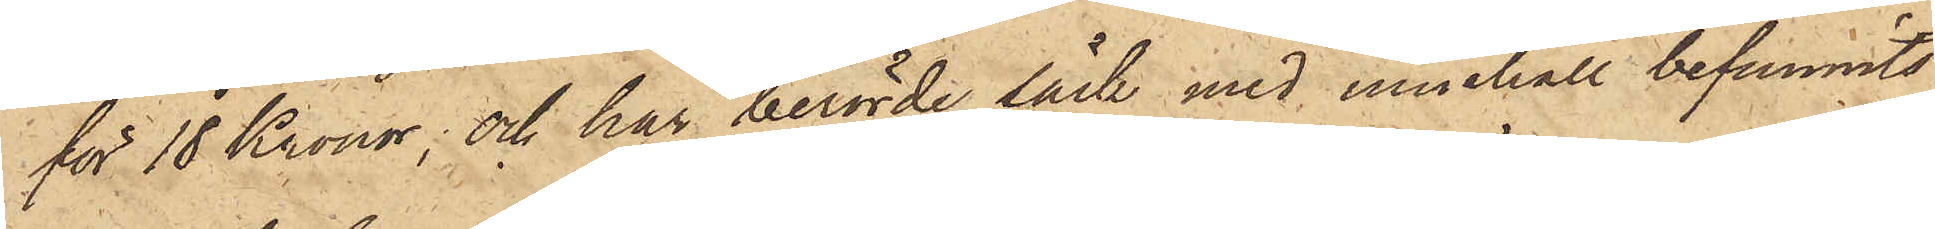för 18 Kronor; och har berörde säck med innehåll befunnits
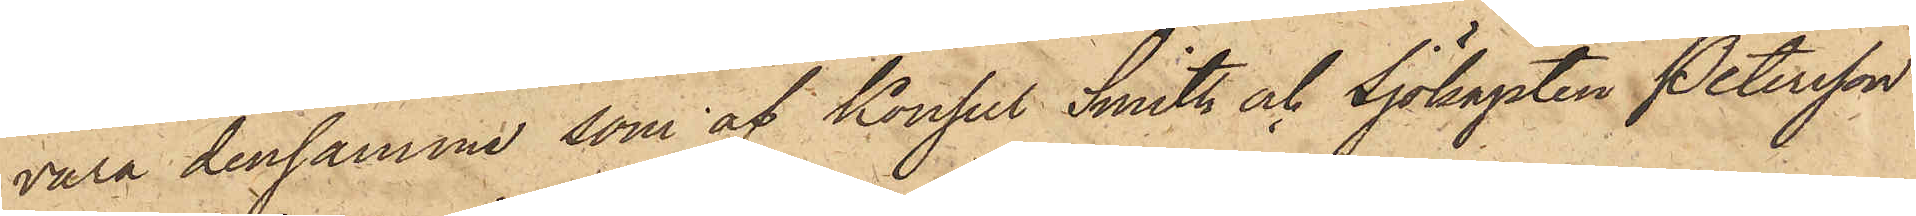vara densamma, som af Konsul Smith och Sjökapten Petersson
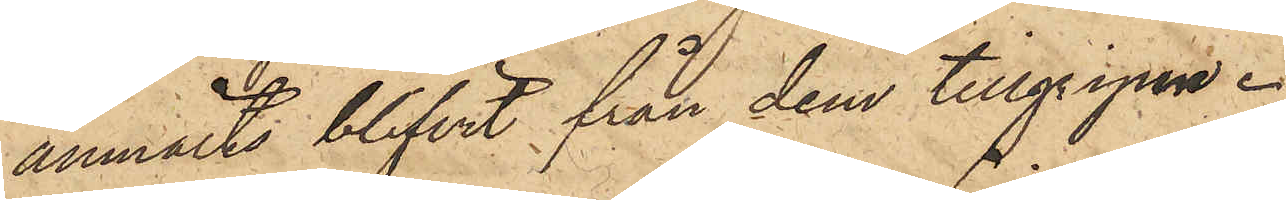anmälts blifvit från dem tillgripen.
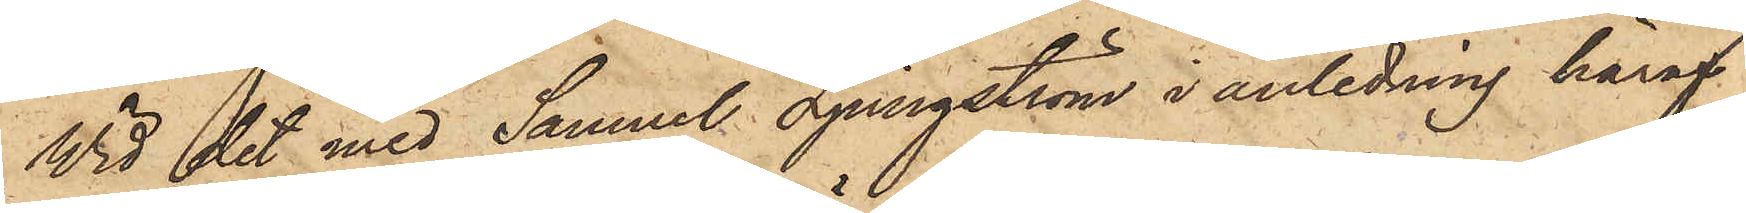Wid det med Samuel Ljungström i anledning häraf
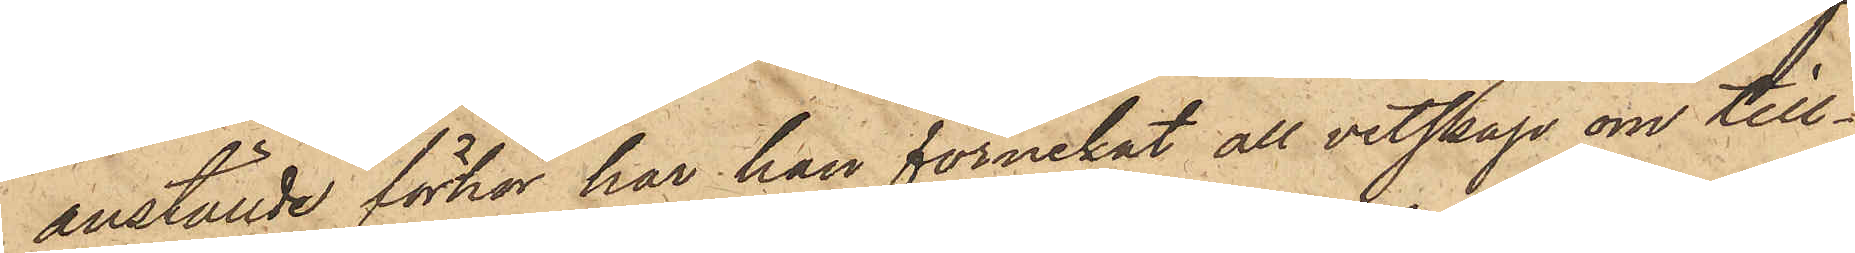anställde förhör har han förnekat all vetskap om till¬
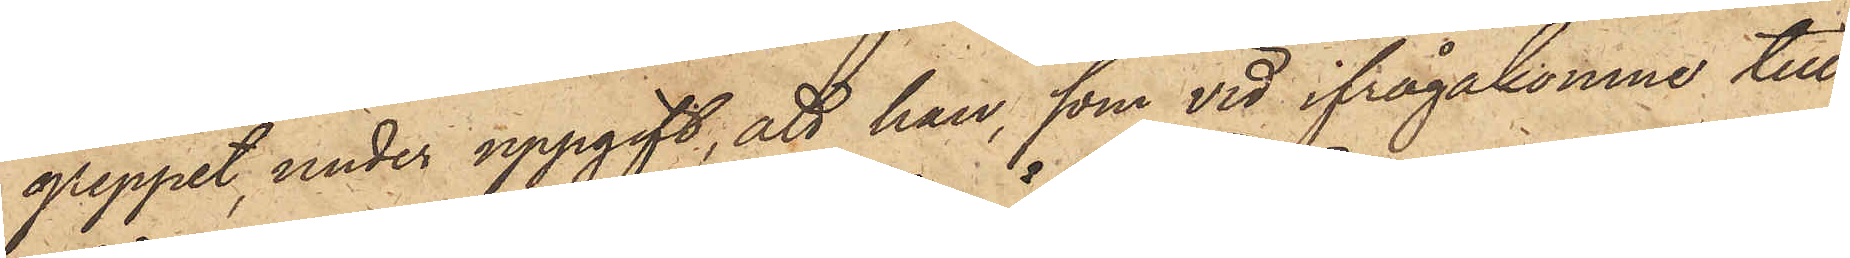greppet, under uppgift, att han, som vid ifrågakomne till¬
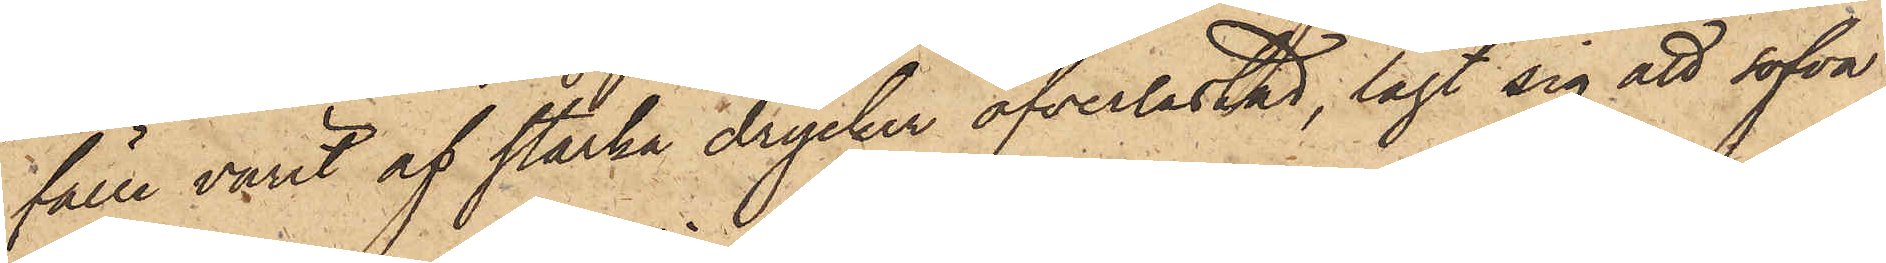fälle varit af starka drycker öfverlastad, lagt sig att sofva
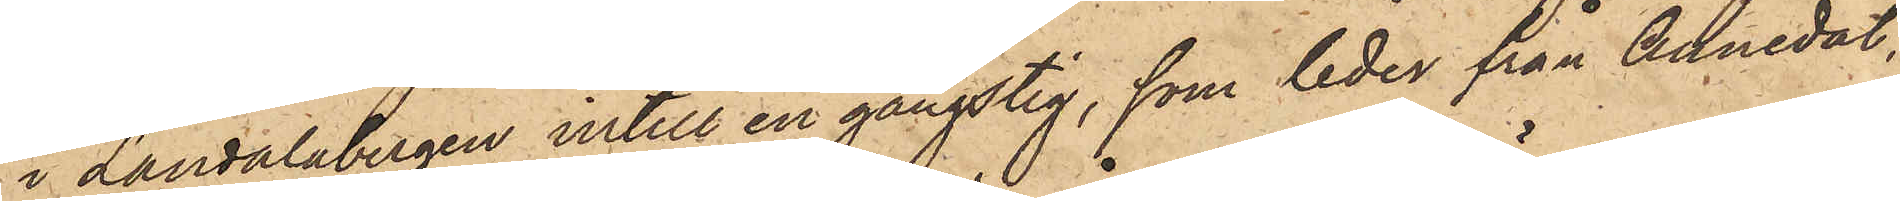i Landalabergen intill en gångstig, som leder från Annedal,
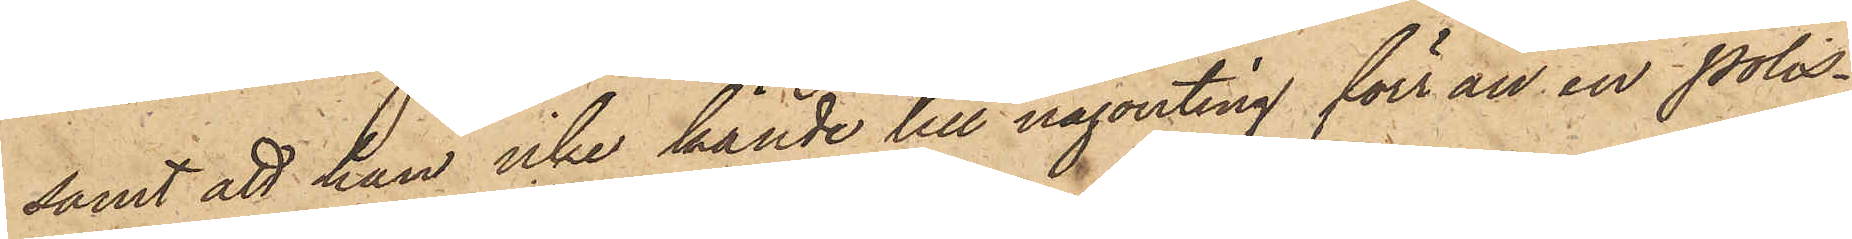samt att han icke kände till någonting förrän en polis¬
